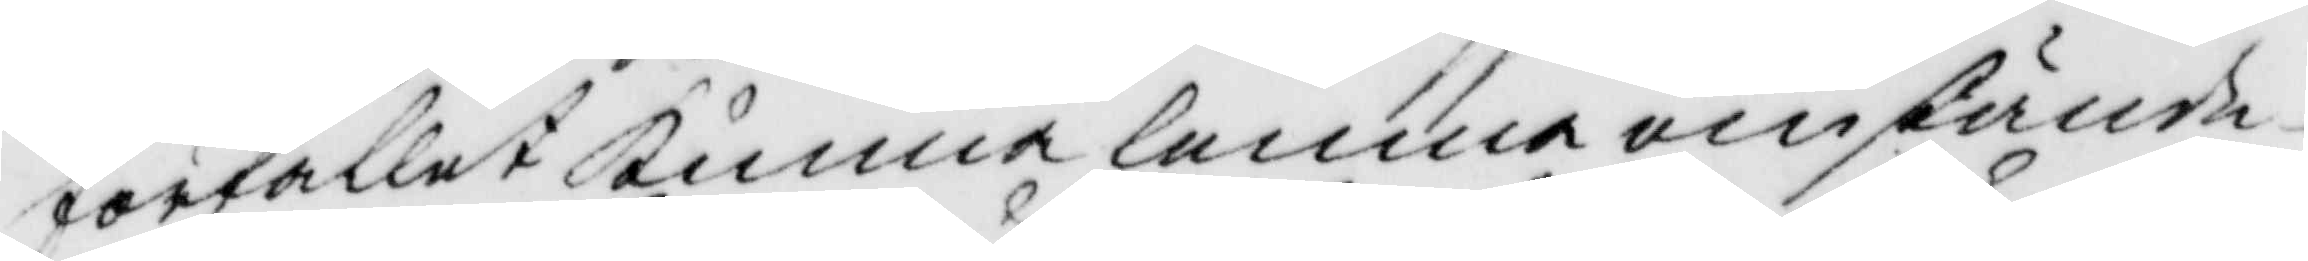förfallet kunna lemna omstände¬
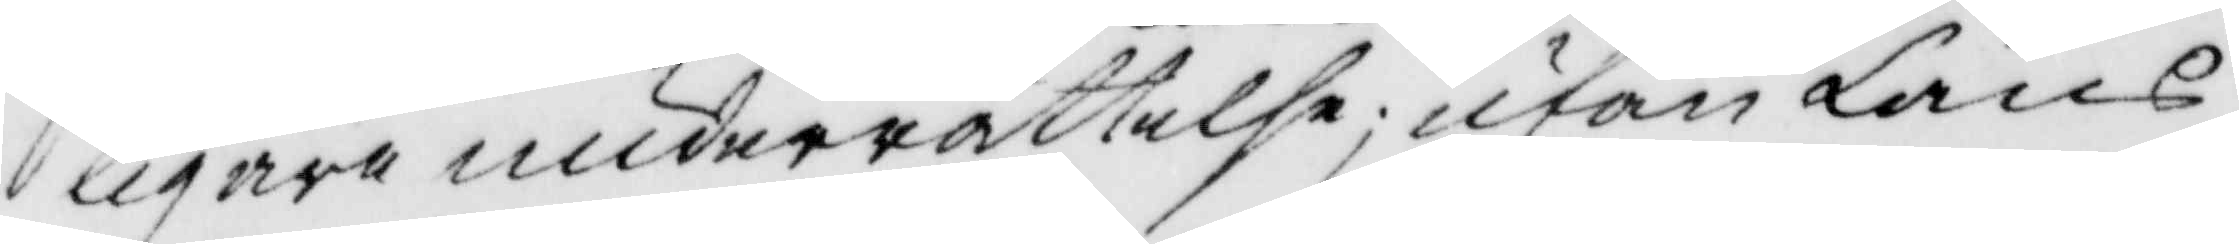ligare underrättelse; utan Läns¬
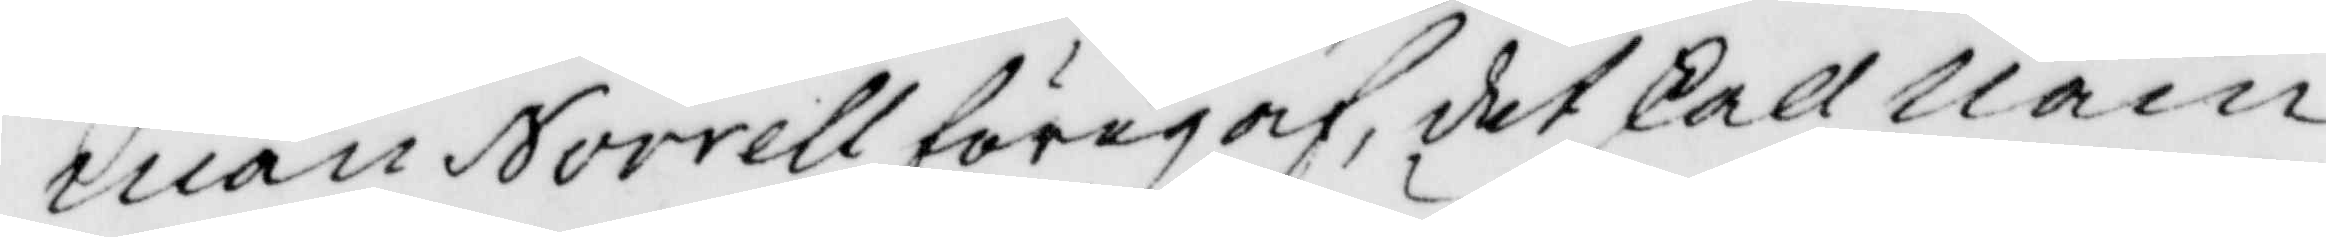man Norrell föregaf, det skall Näm¬
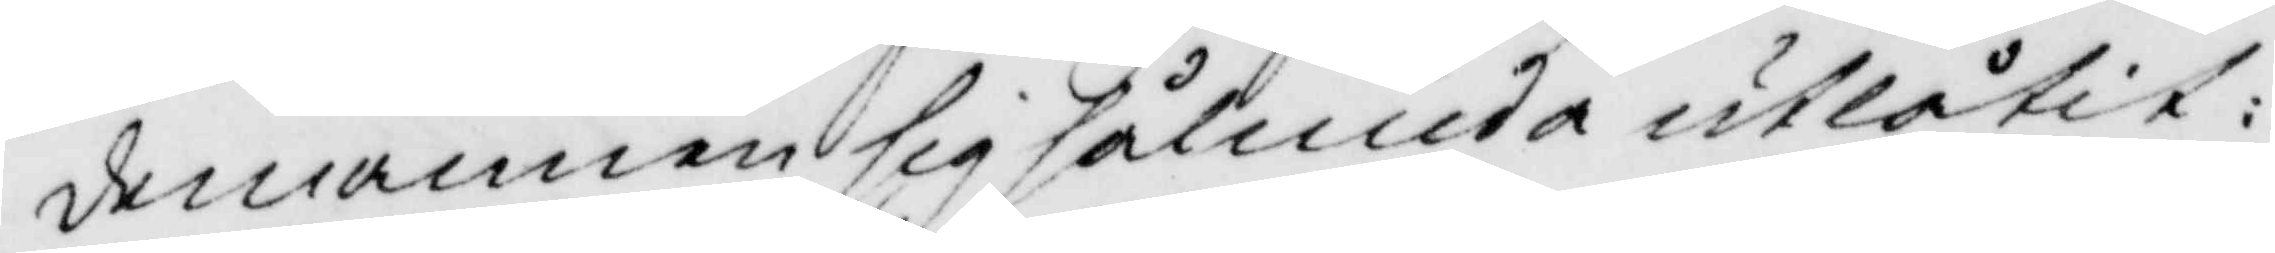demannen sig sålunda utlåtir:
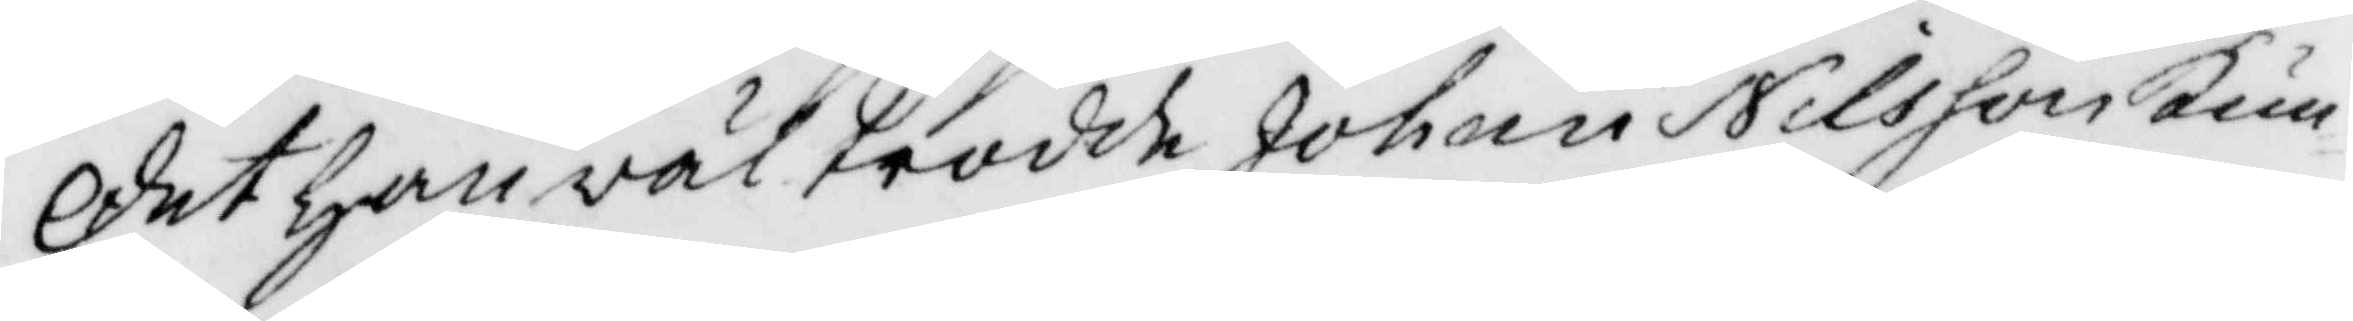det han väl trodde Johan Nilsson kun¬
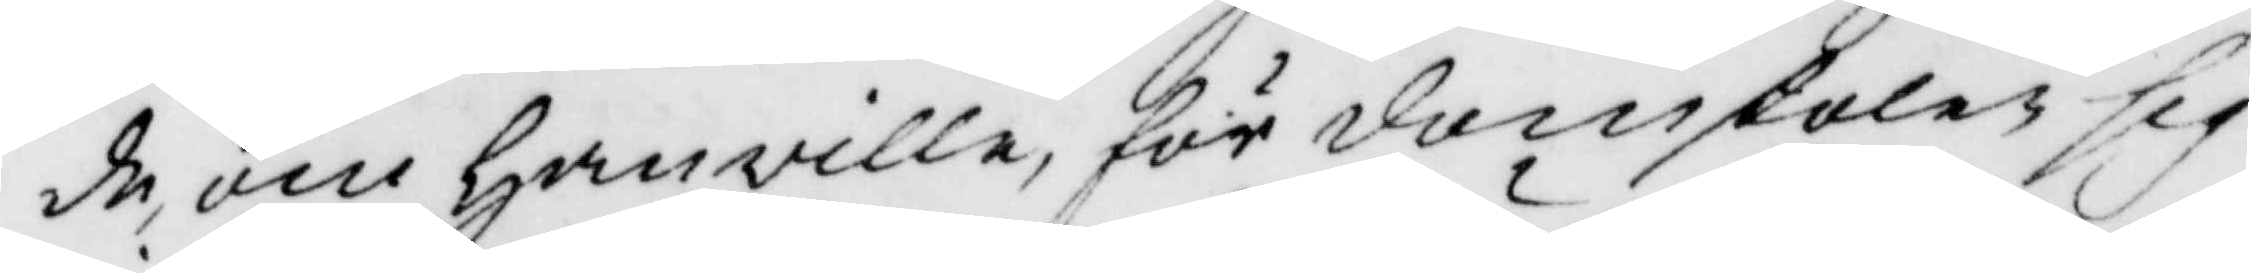de, om han ville, för domstolen sig
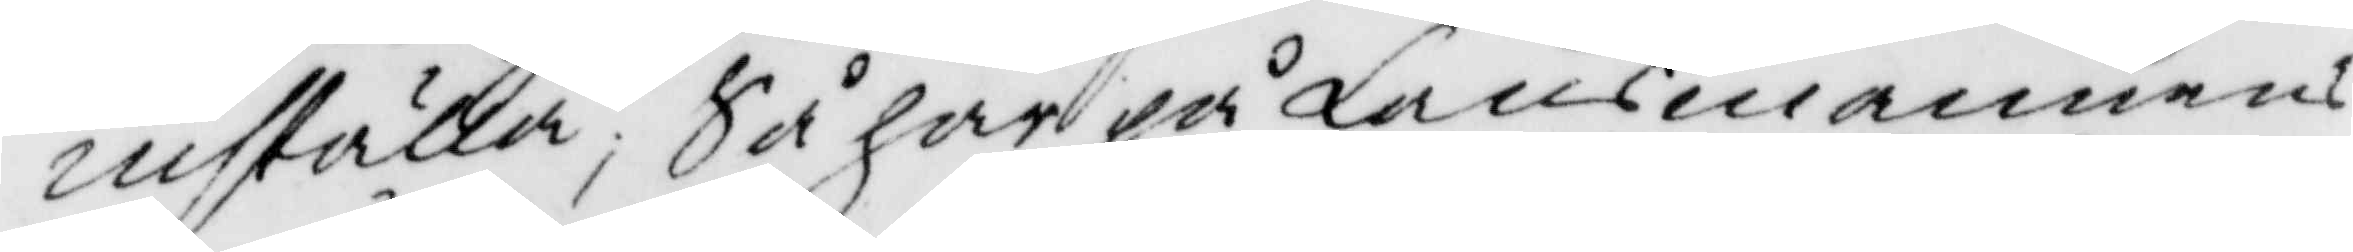inställa; Så har på Länsmannens
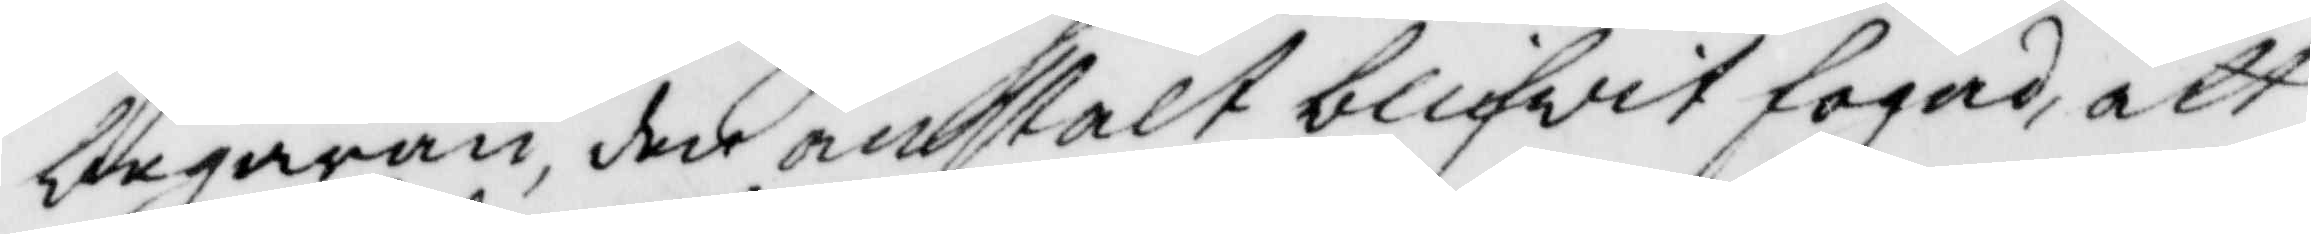begäran, den anstalt blifwit fogad, att
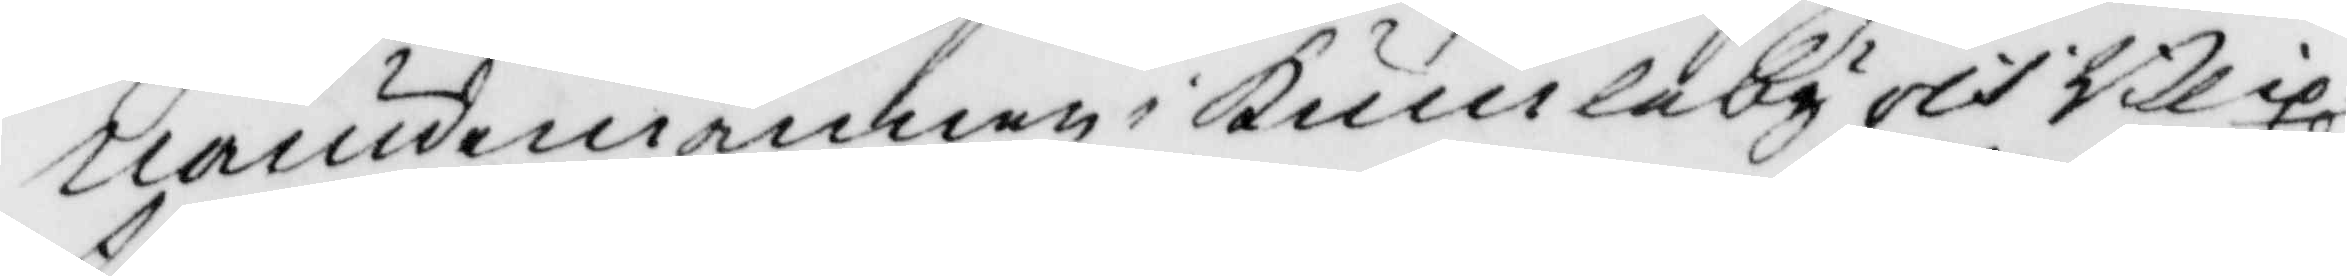nämndemännen i kumleby och Blix¬
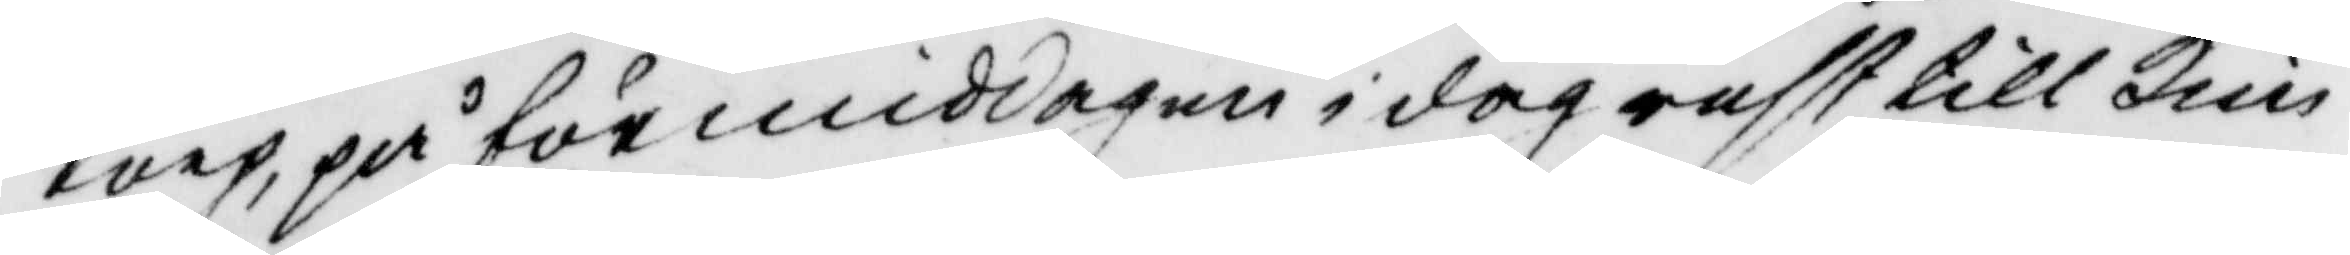torp,på förmiddagen i dag rest till kim¬
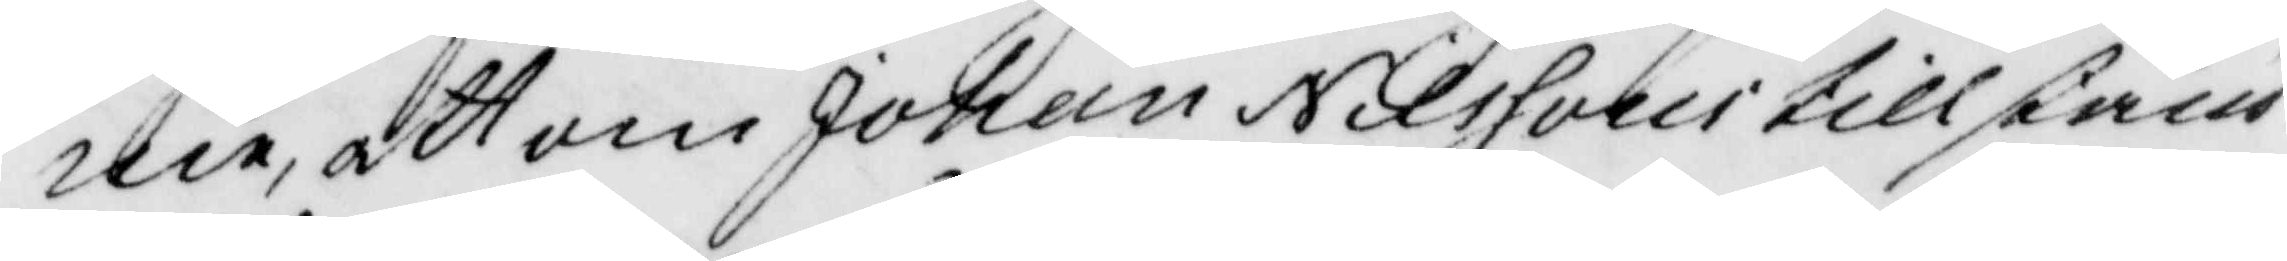me, att om Johan Nilssons tillstånd
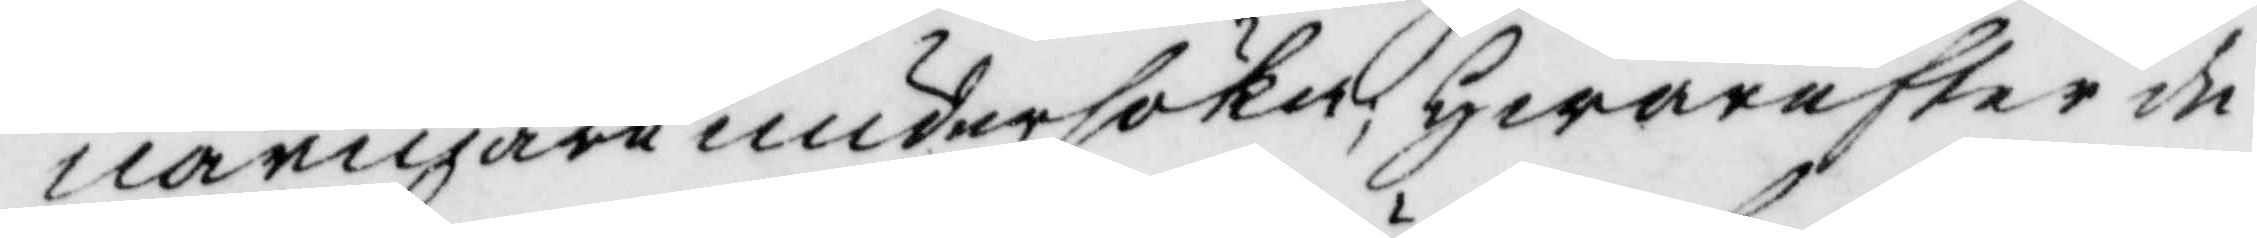närmare undersöka; hwarefter de
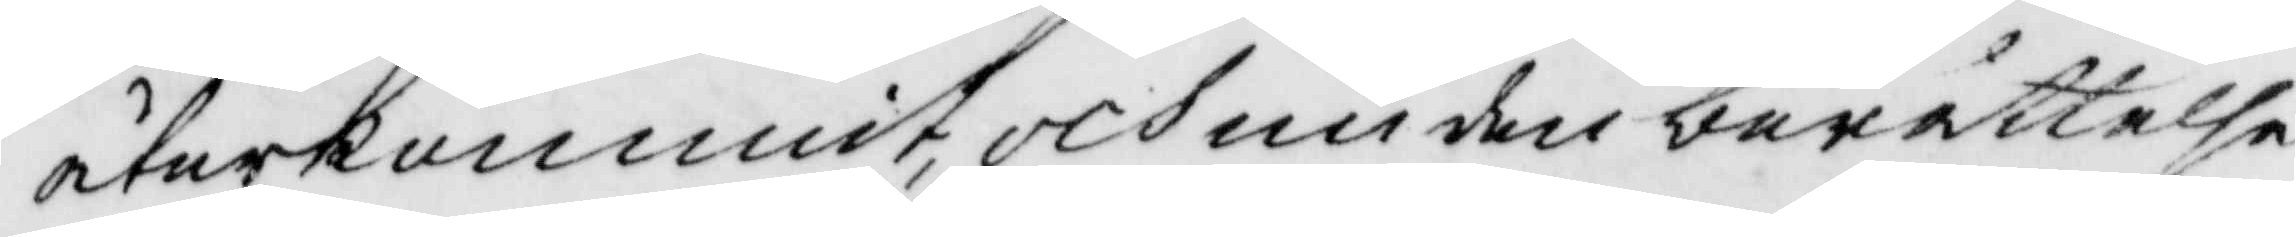återkommit, och nu den berättelse
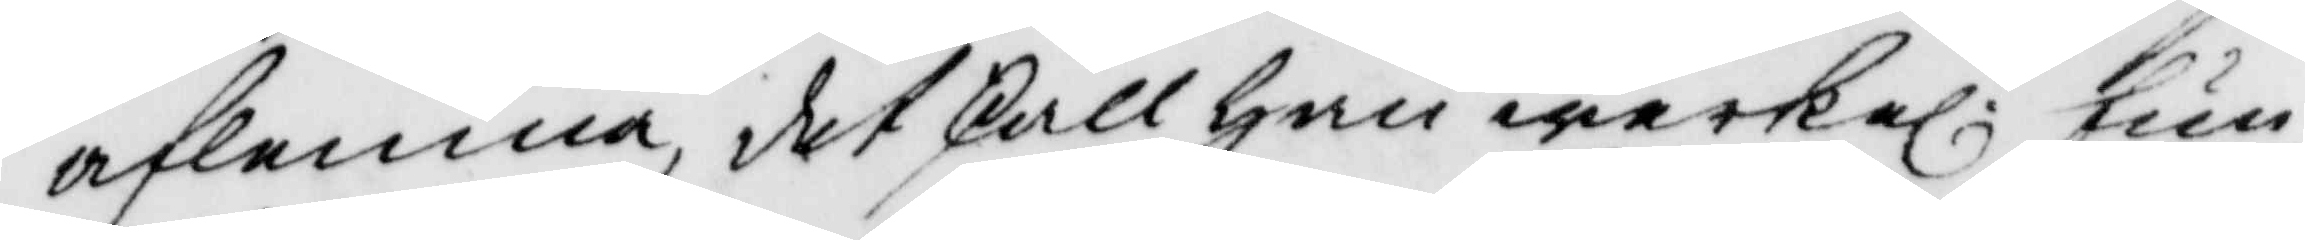aflemna, det skall han werkel: fun¬
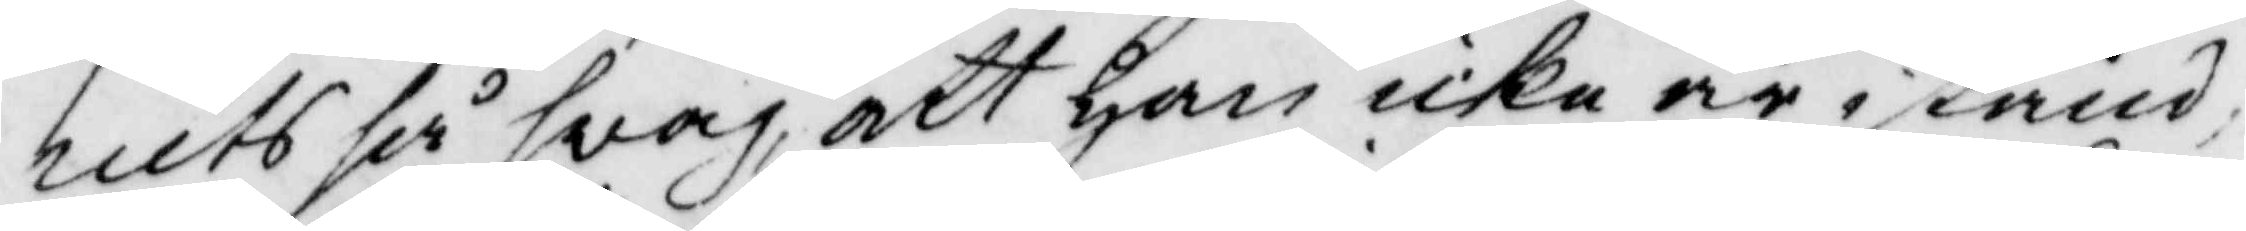nits så svag, att han icke är i stånd
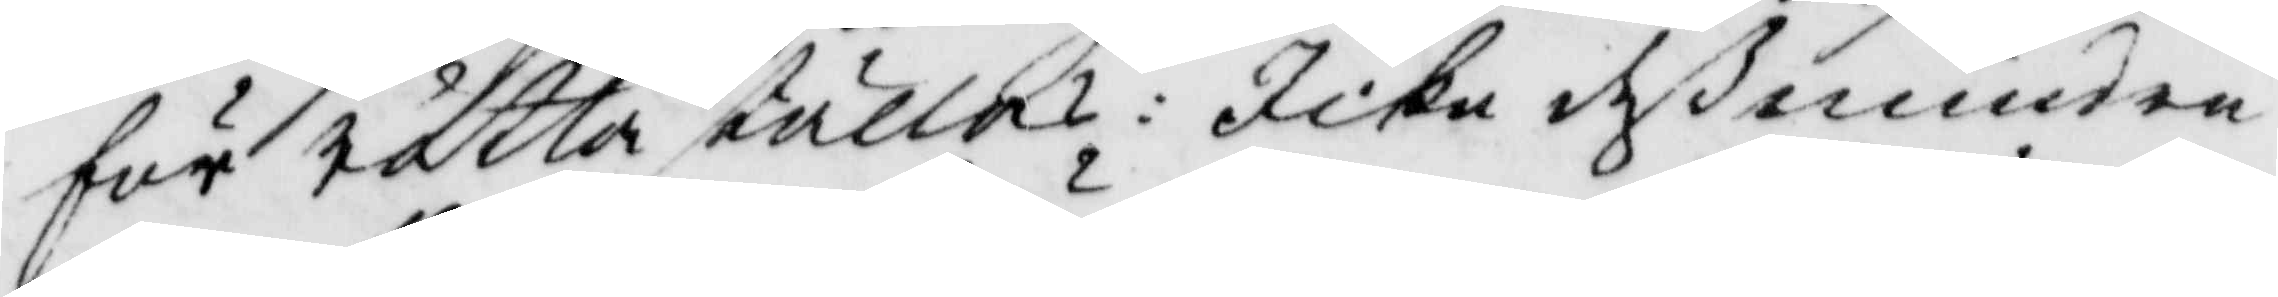för rätta ställas: Icke deß mindre
